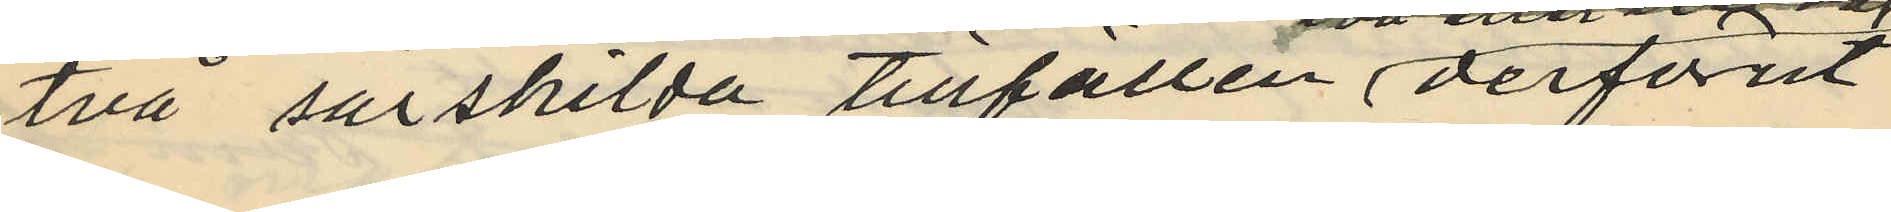två särskilda tillfällen derförut
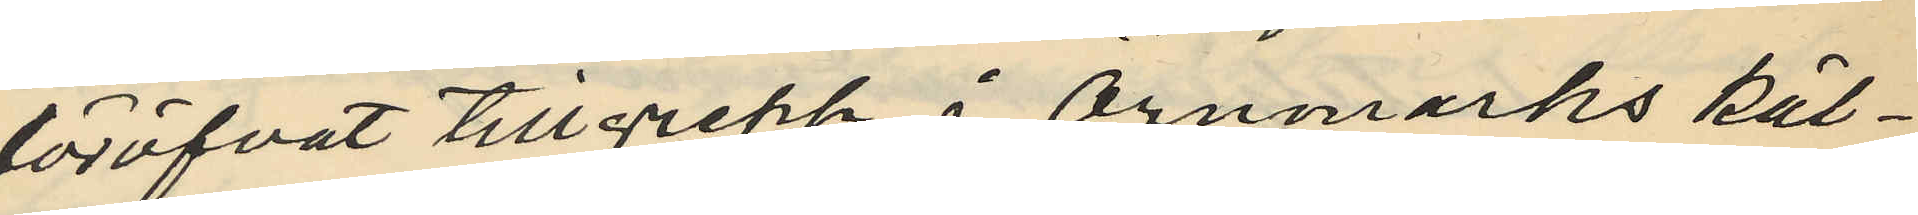föröfvat tillgrepp i Örnmarks käl¬
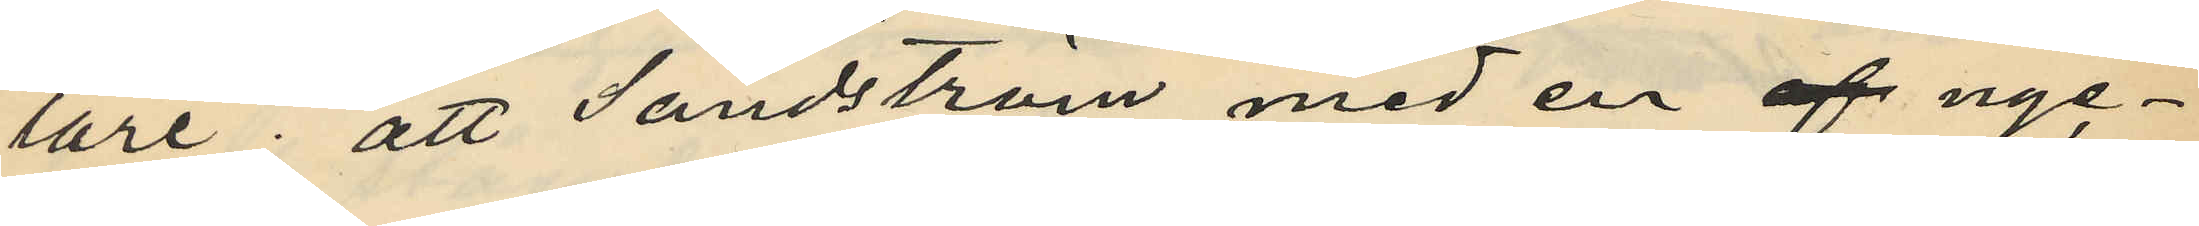lare; att Sandström med en af nyc¬
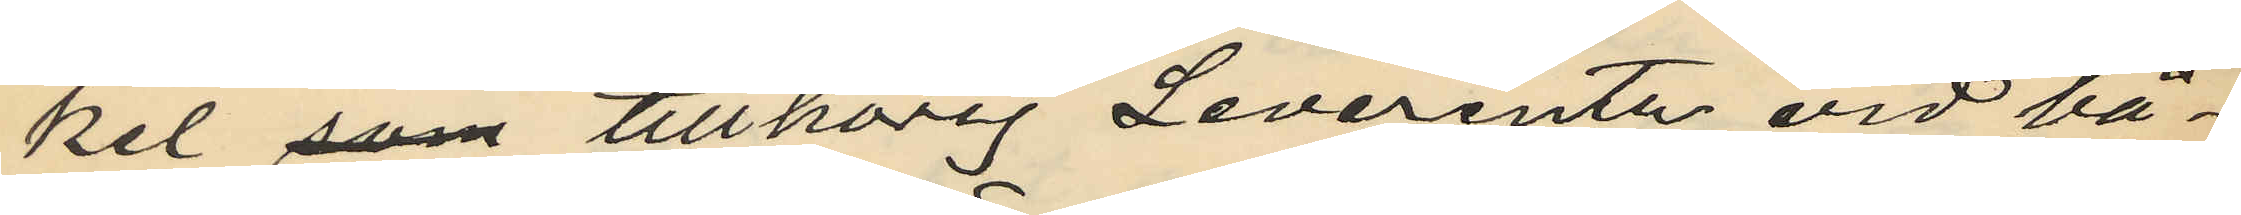kel som tillhörig Leverentz vid bå¬
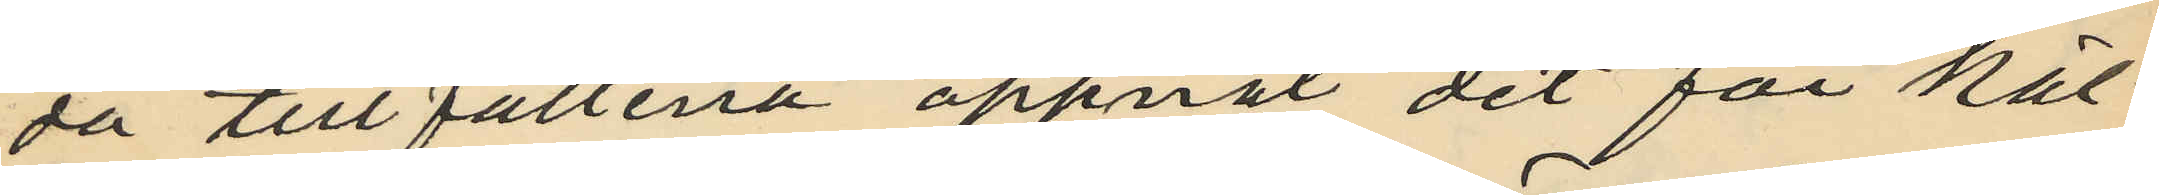da till fällena öppnat det för käl¬
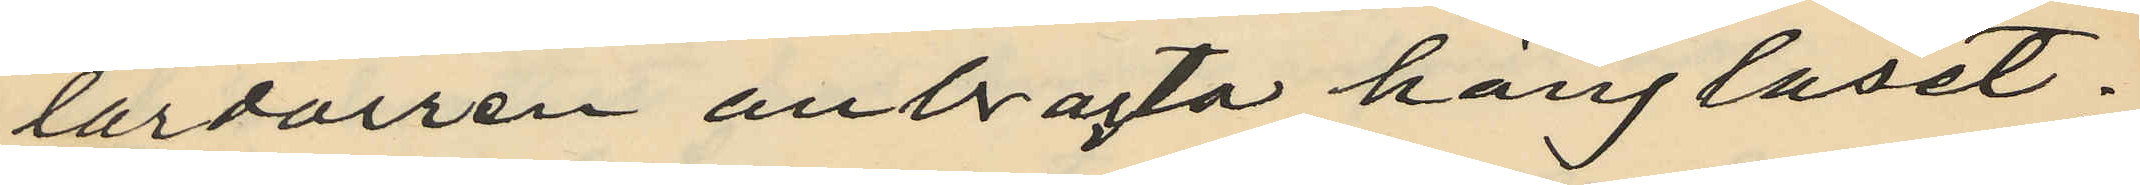lardörren anbragta hänglaset;
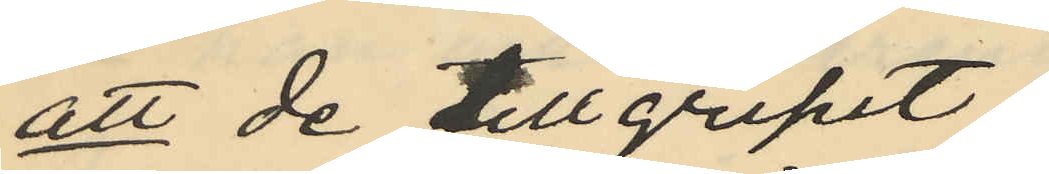att de tillgripit:
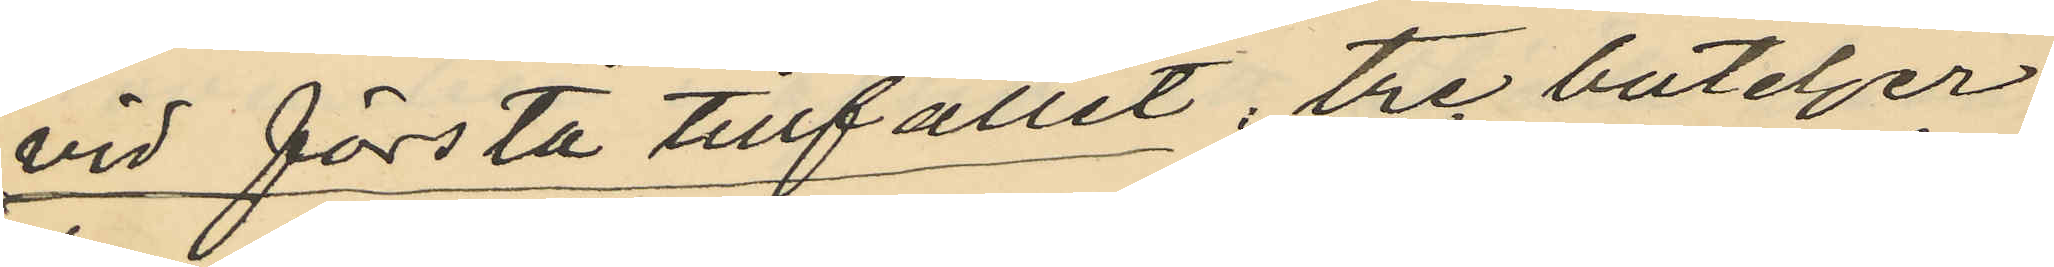vid första tillfället, tre buteljer
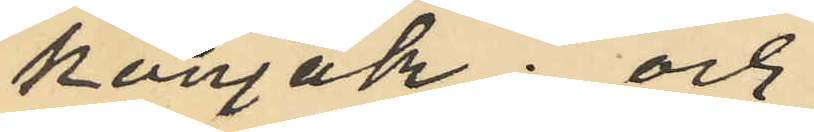konjak; och
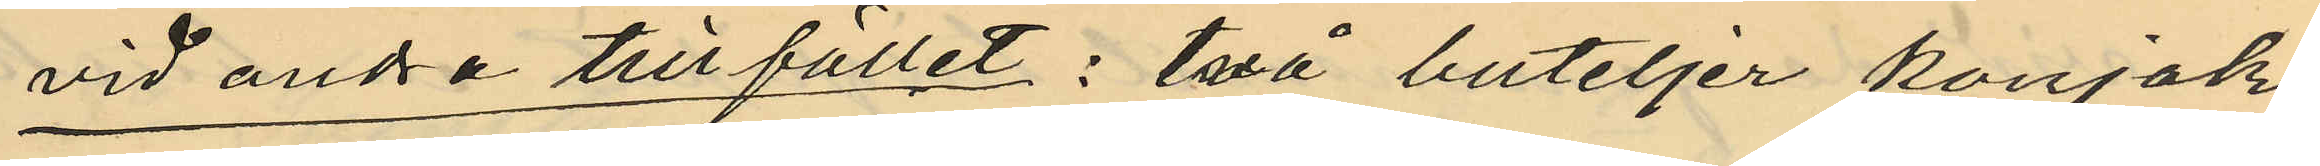vid andra tillfället; två buteljer konjak
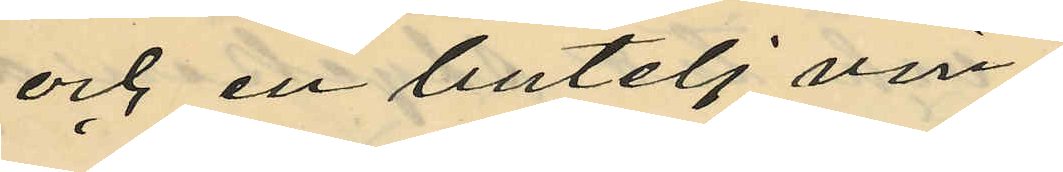och en butelj vin;
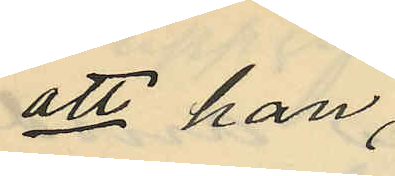att han
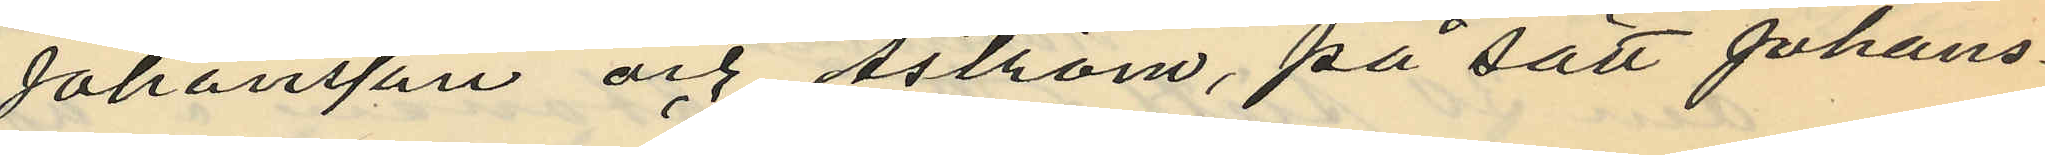Johansson och Åström, på sätt Johans¬
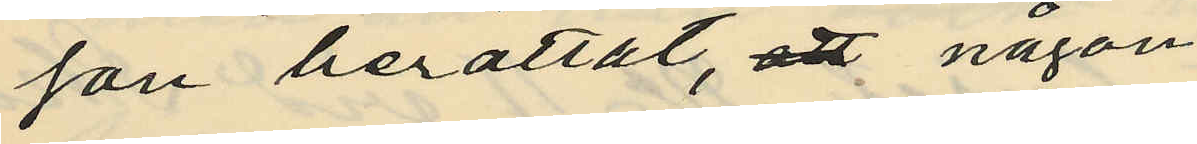son berättat, att någon
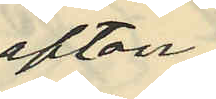afton
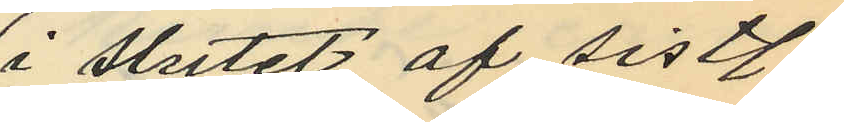i slutet af sistl
